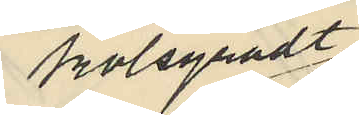kolsyradt
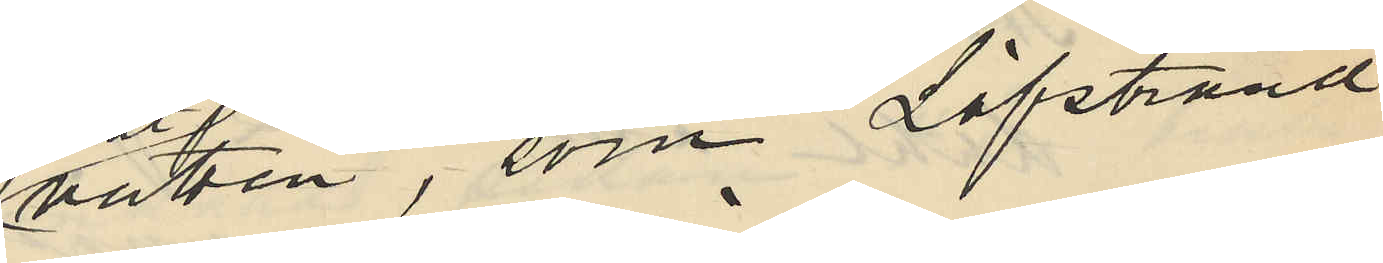vatten, som Löfstrand
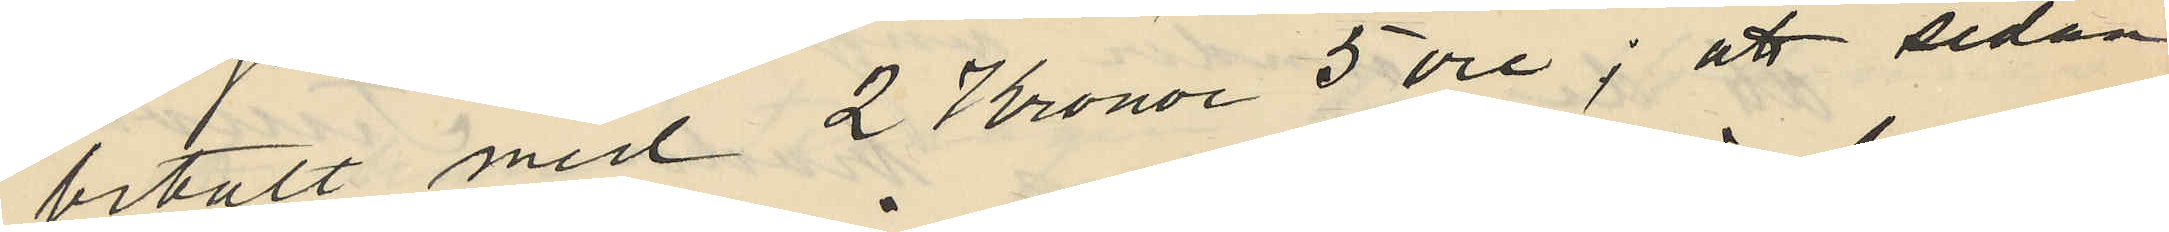betalt med 2 Kronor 5 öre; att sedan
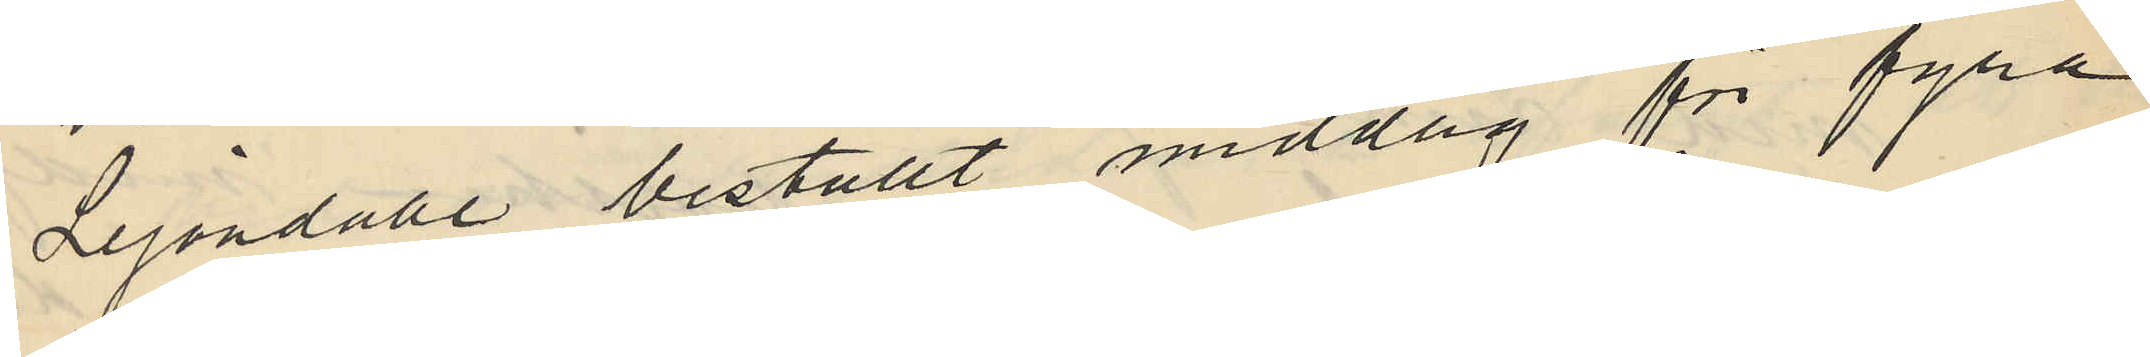Lejondahl beställt middag för fyra
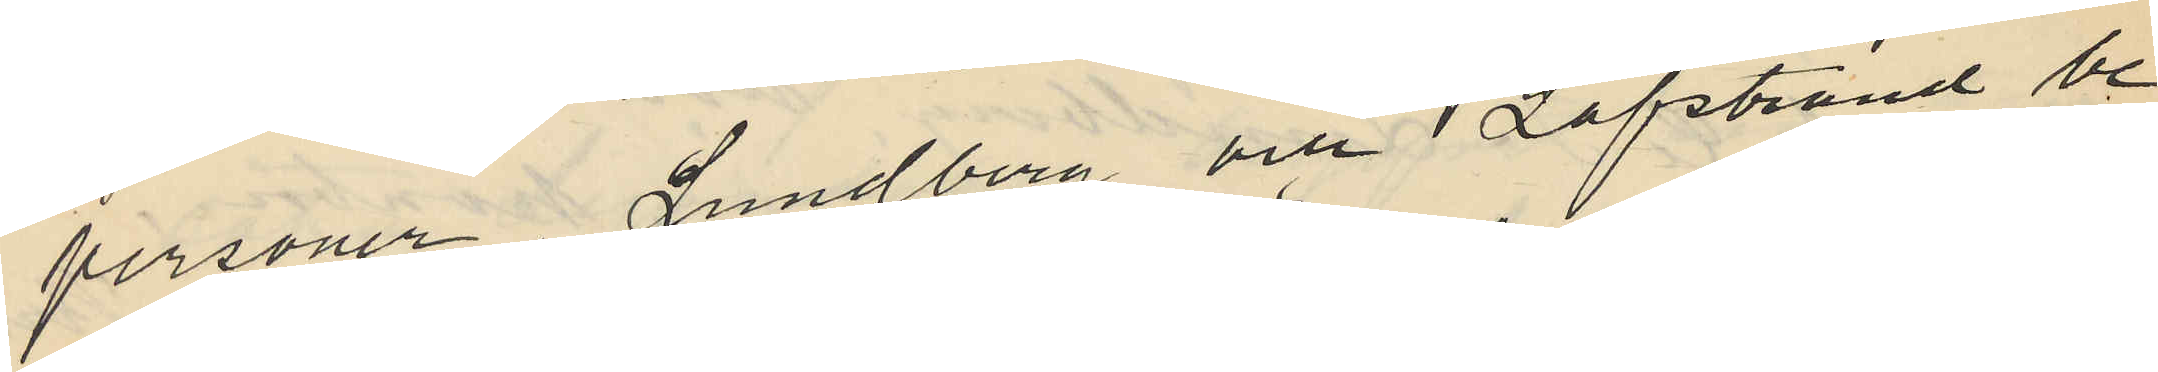personer, Lundberg och Löfstrand be¬
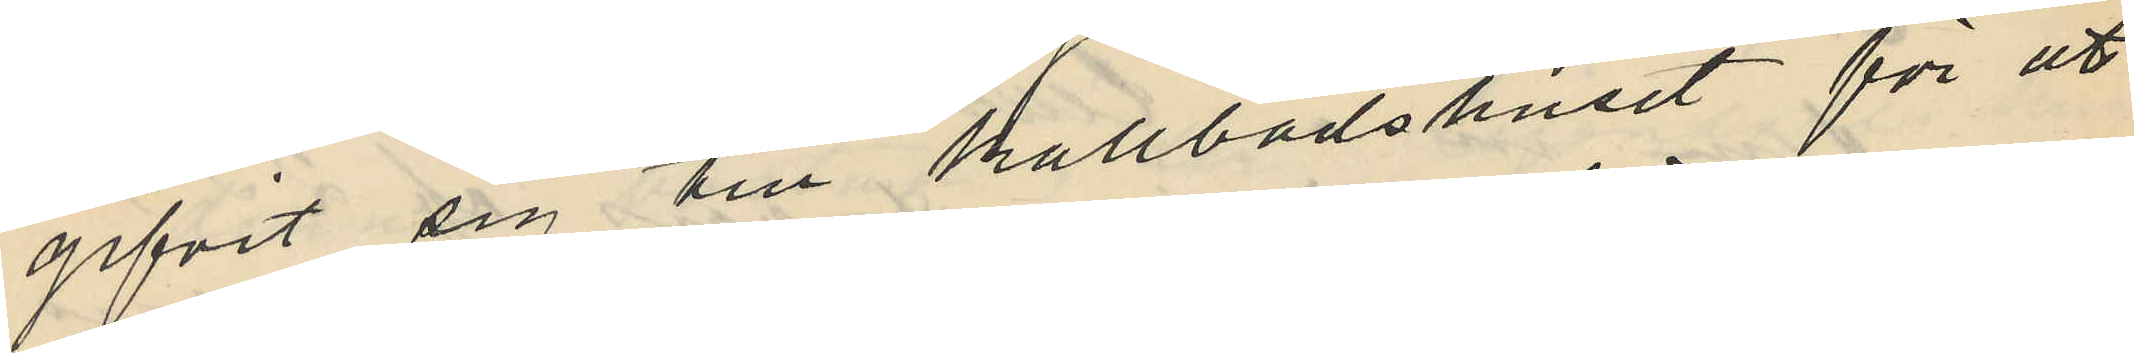gifvit sig till kallbadshuset för att
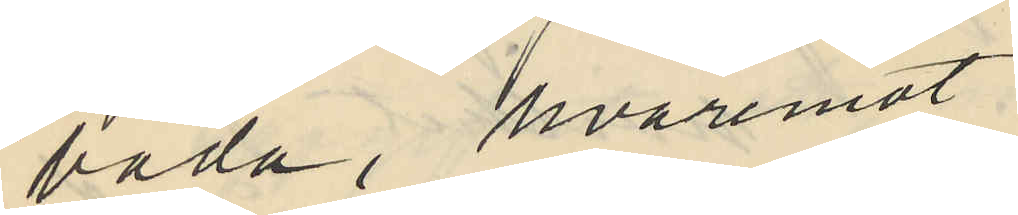bada, hvaremot
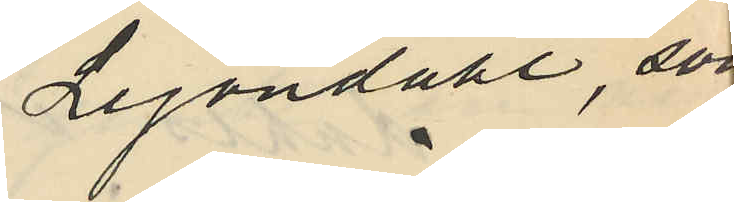Lejondahl, som
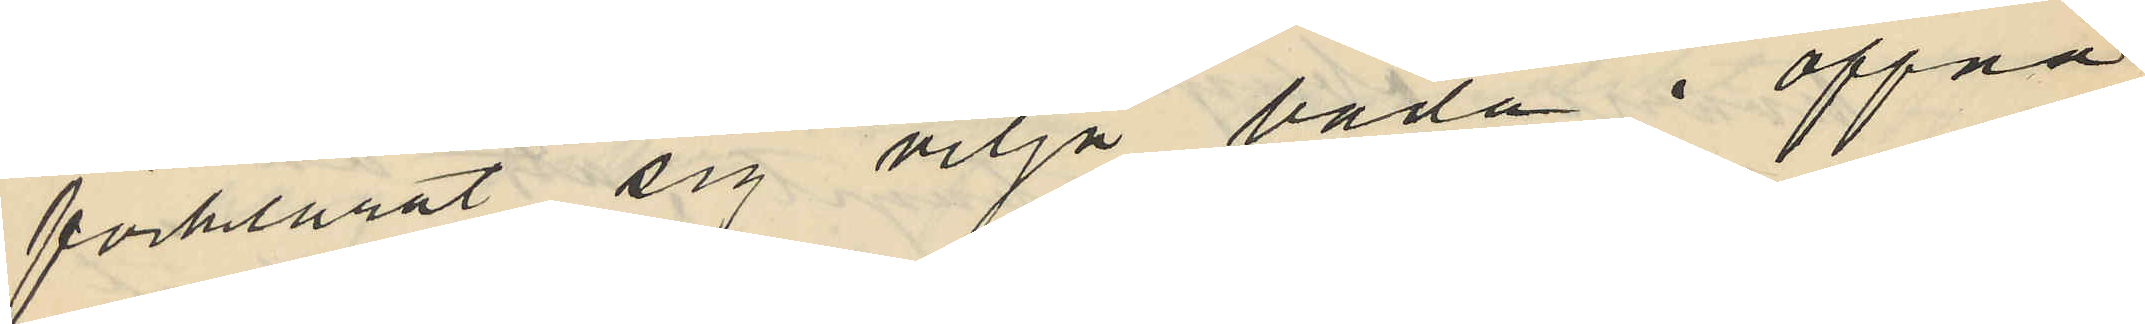förklarat sig vilja bada i öppna
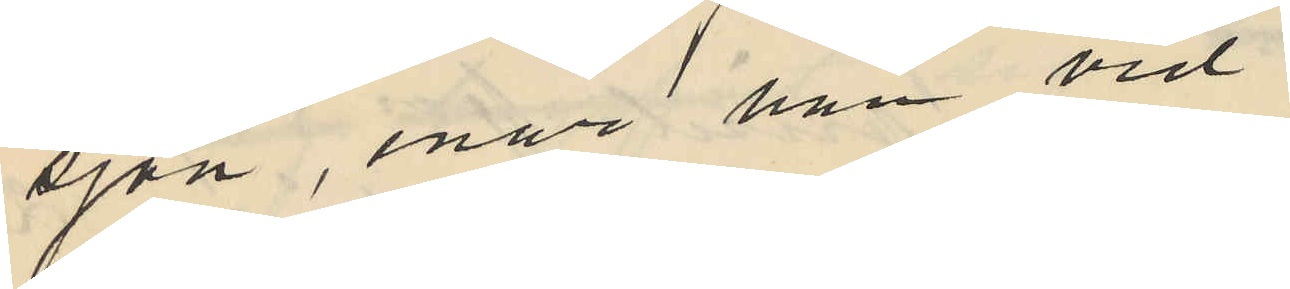sjön, enär han vid
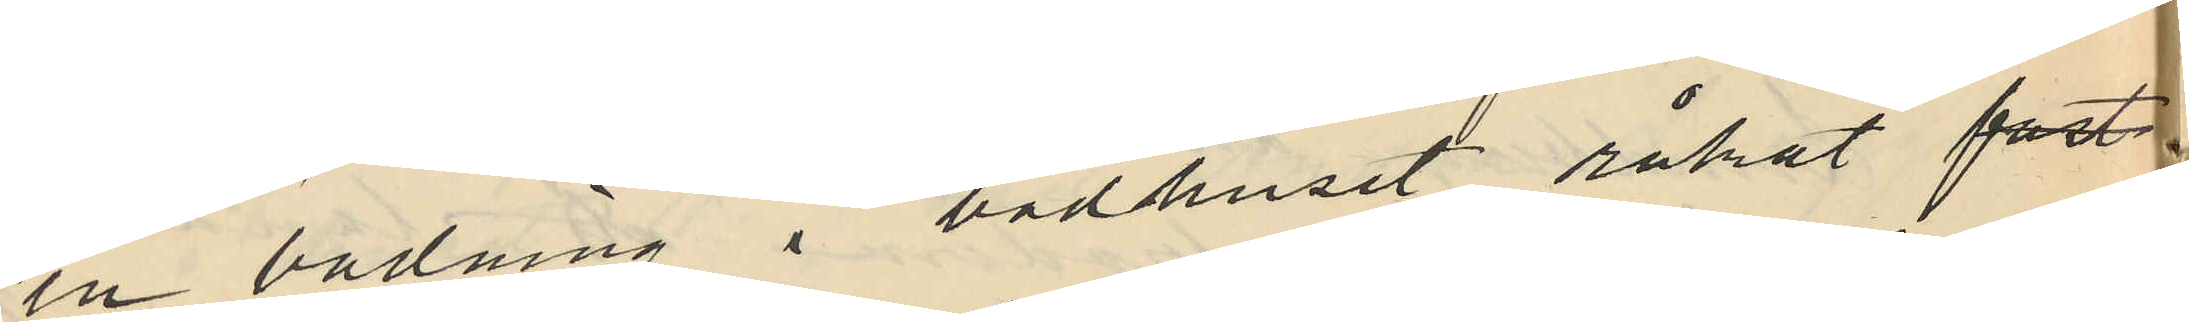en badning i badhuset råkat fast¬
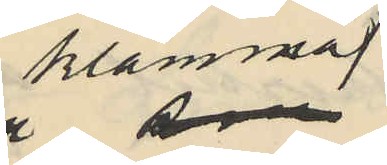klämma
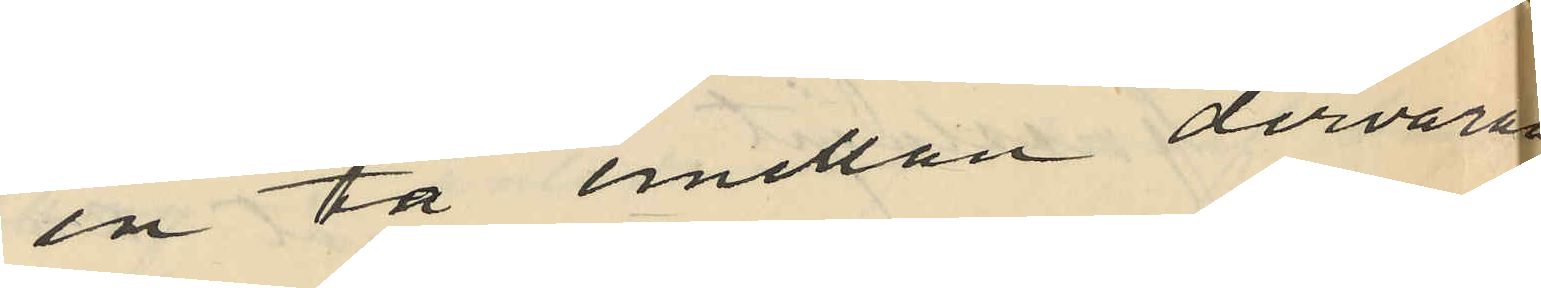en tå emellan dervaran
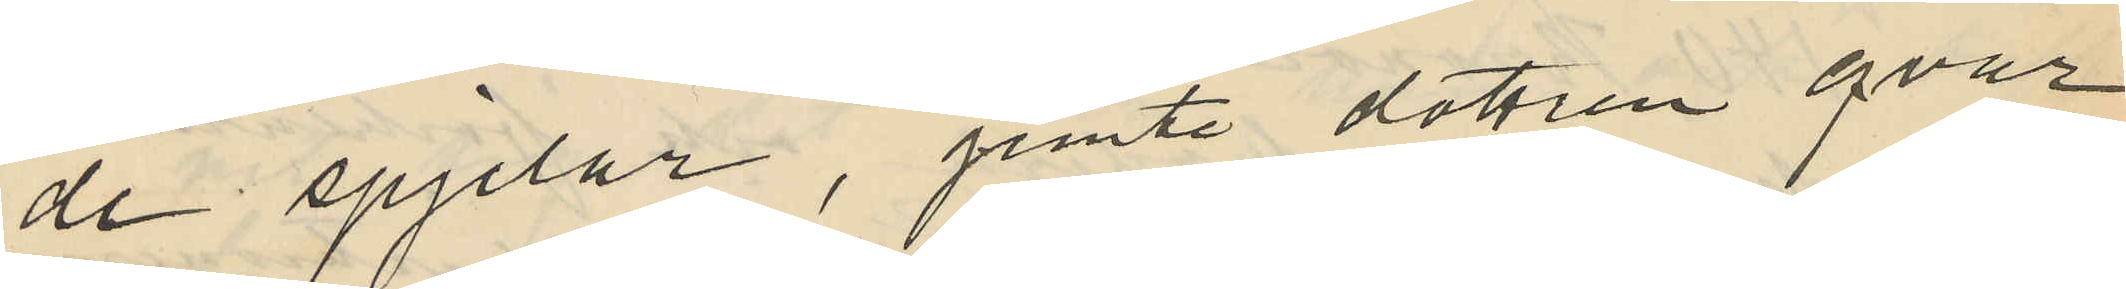de spjelor, jemte dottren qvar¬
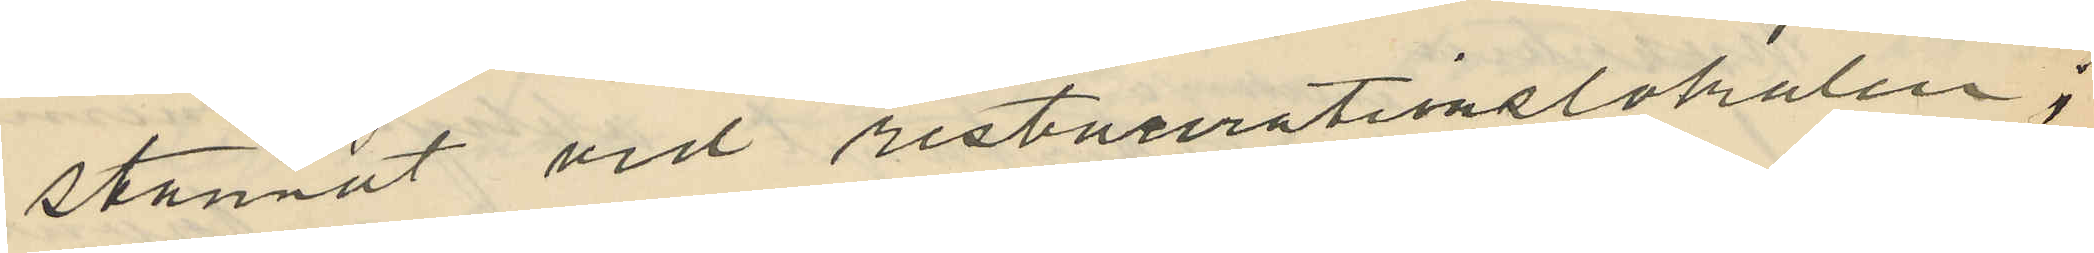stannat vid restaurationslokalen;
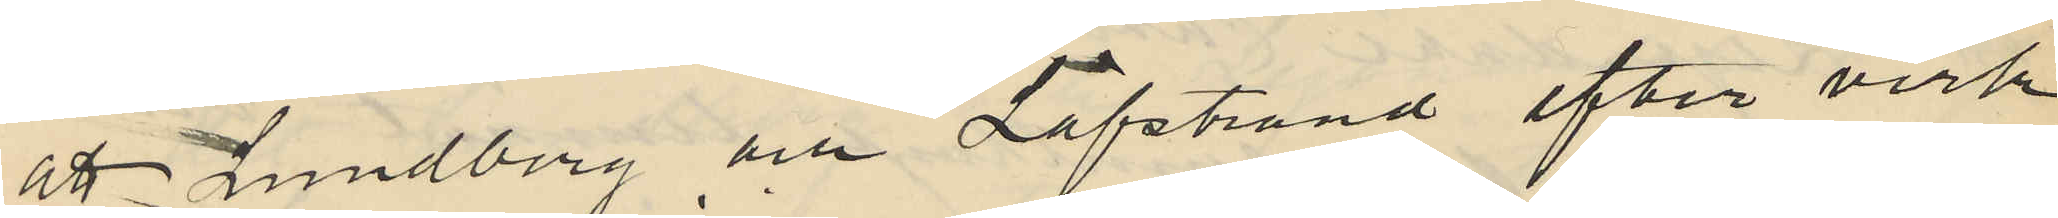att Lundberg och Löfstrand efter verk¬
